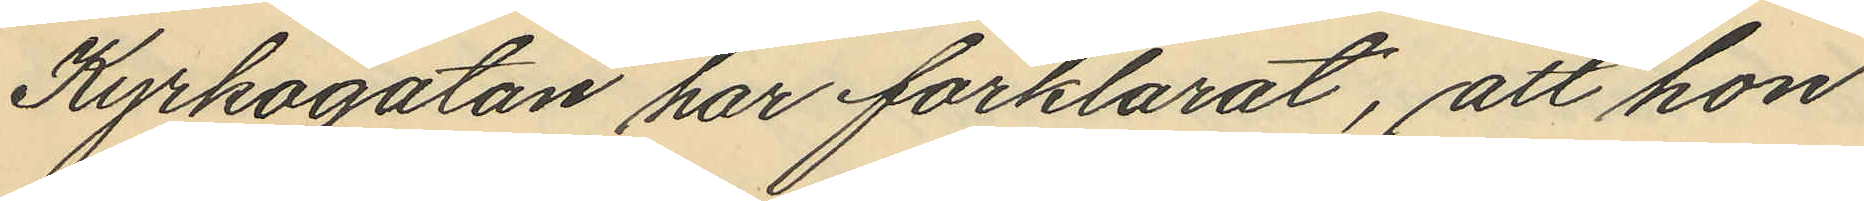Kyrkogatan har förklarat, att hon
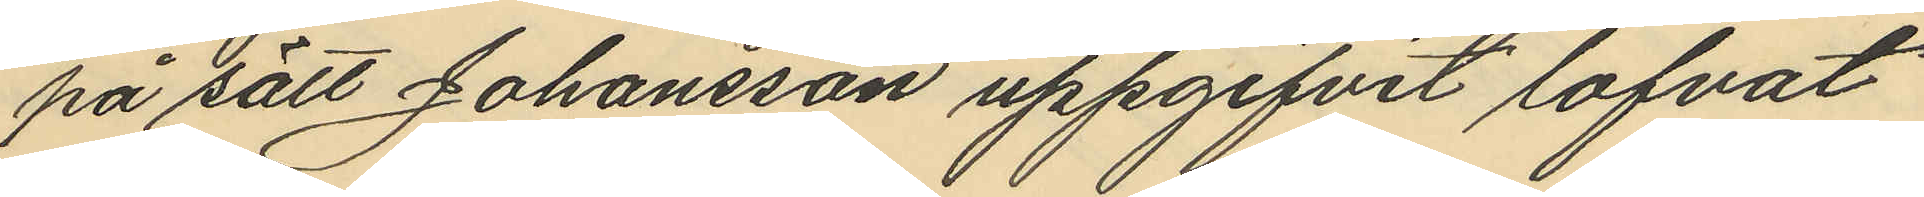på sätt Johansson uppgifvit lofvat
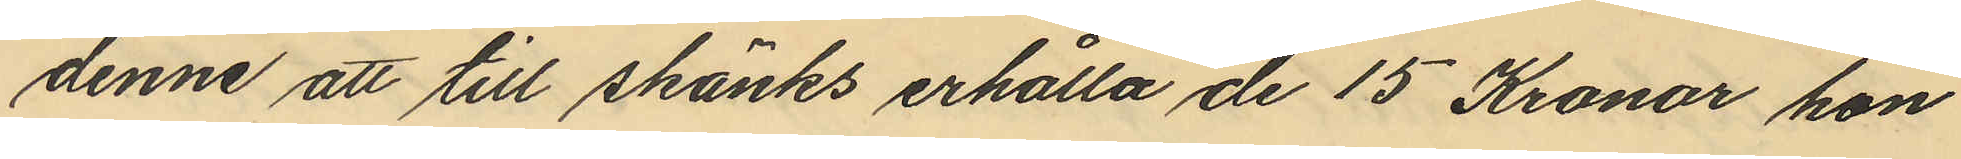denne att till skänks erhålla de 15 Kronor hon
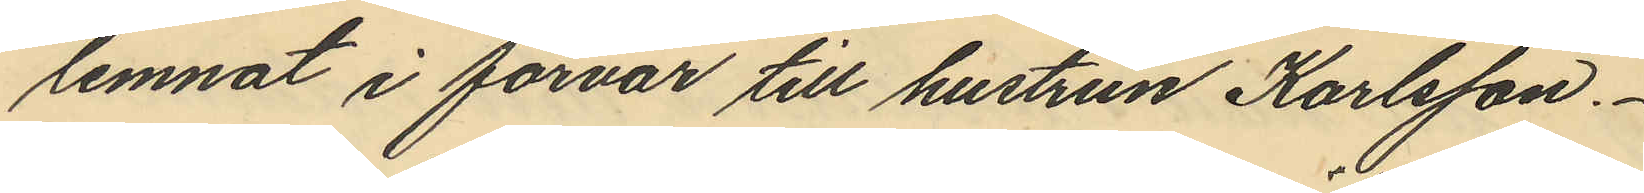lemnat i förvar till hustrun Karlsson.
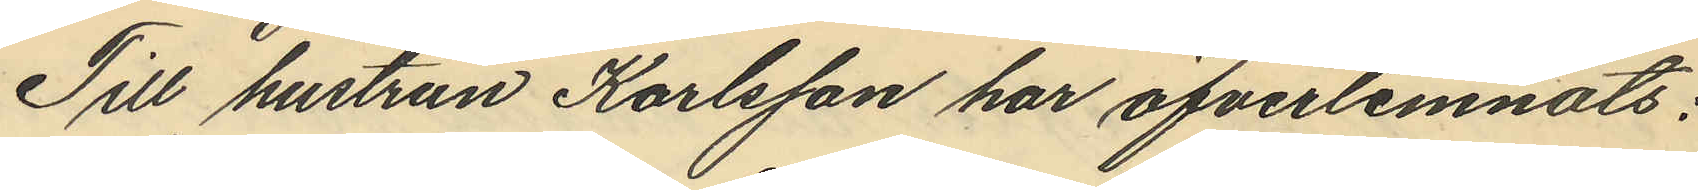Till hustrun Karlsson har öfverlemnats:
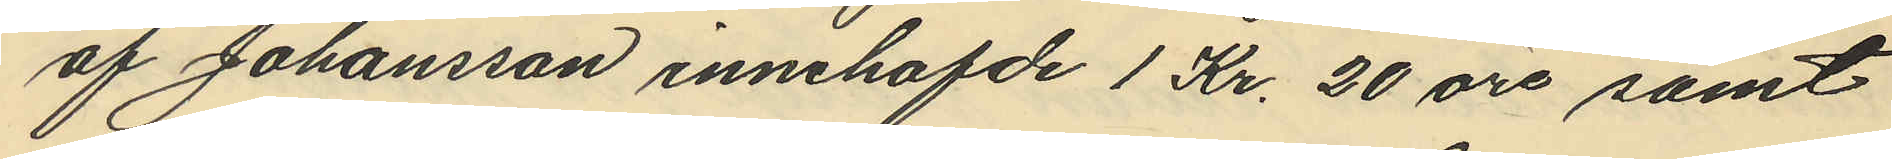af Johansson innehafvde 1 Kr. 20 öre samt
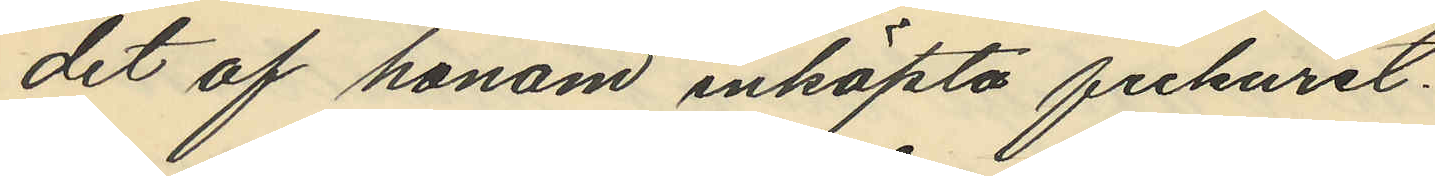det af honom inköpta fickuret.
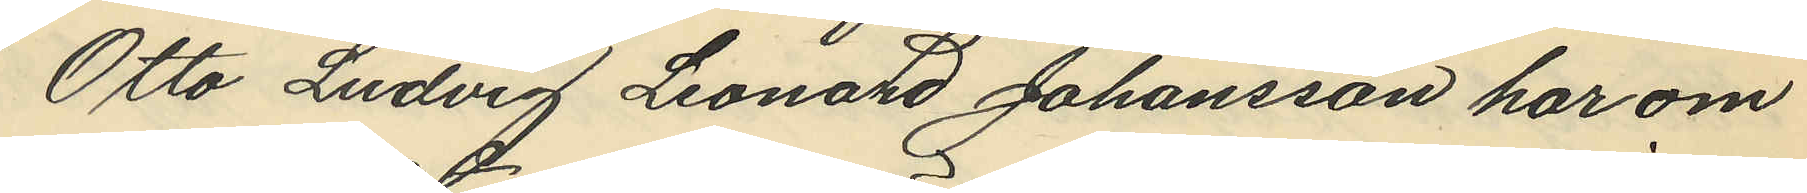Otto Ludvig Leonard Johansson har om
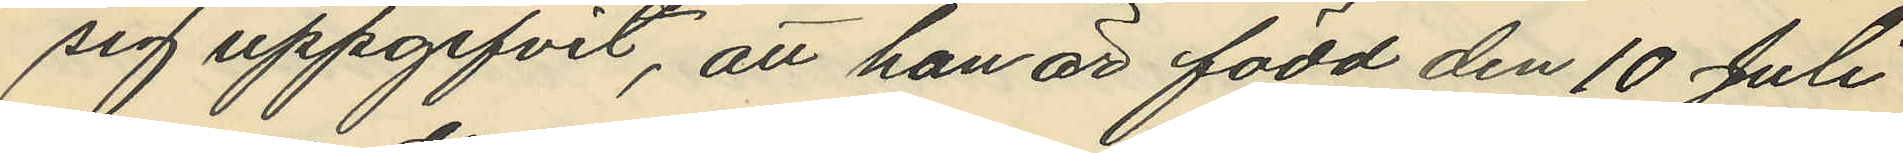sig uppgifvit, att han är född den 10 Juli
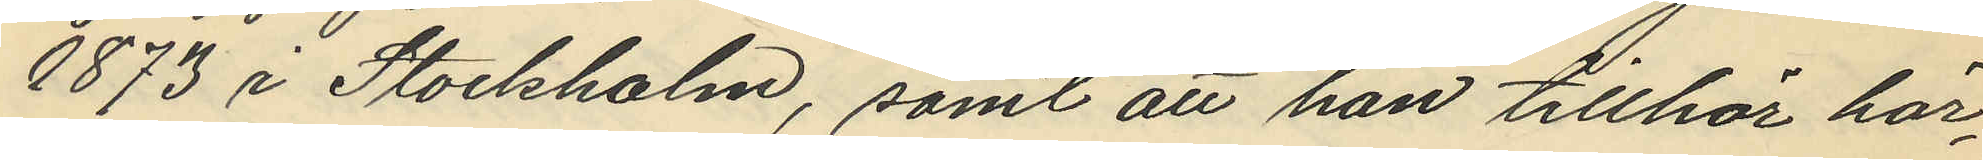1873 i Stockholm, samt att han tillhör här¬
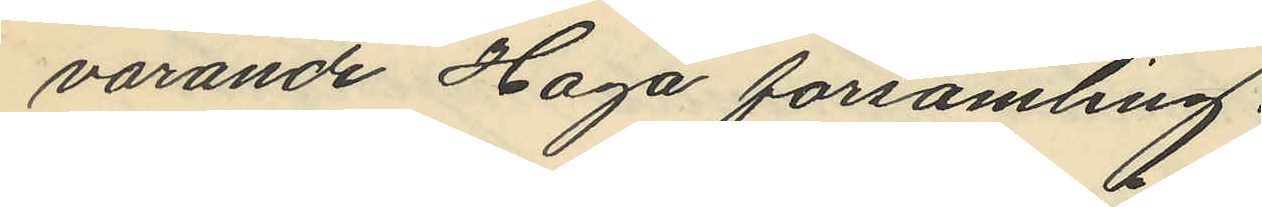varande Haga församling.
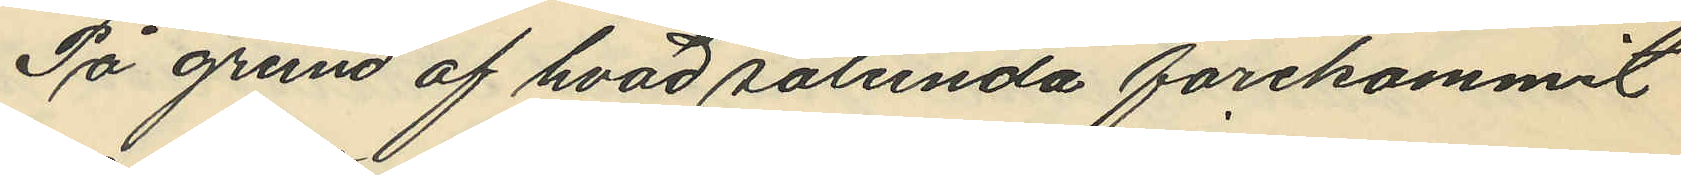På grund af hvad sålunda förekommit
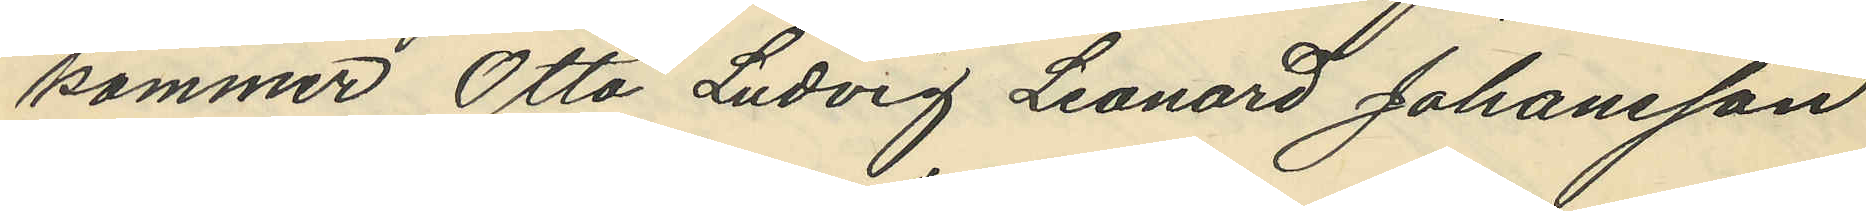kommer Otto Ludvig Leonard Johansson
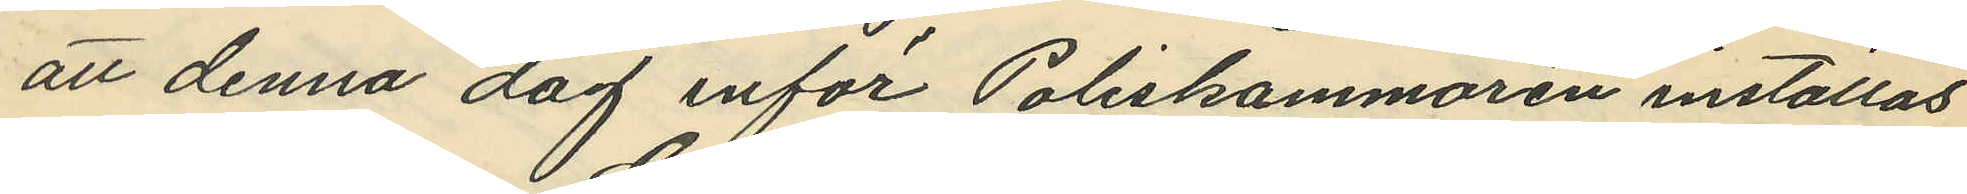att denna dag inför Poliskammaren inställas
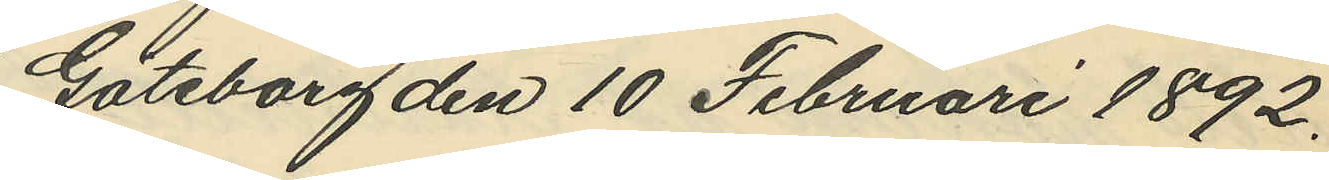Göteborg den 10 Februari 1892.
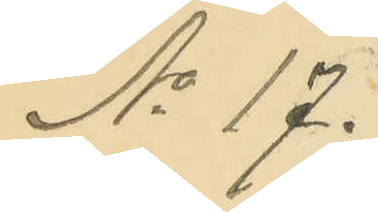No 17.
